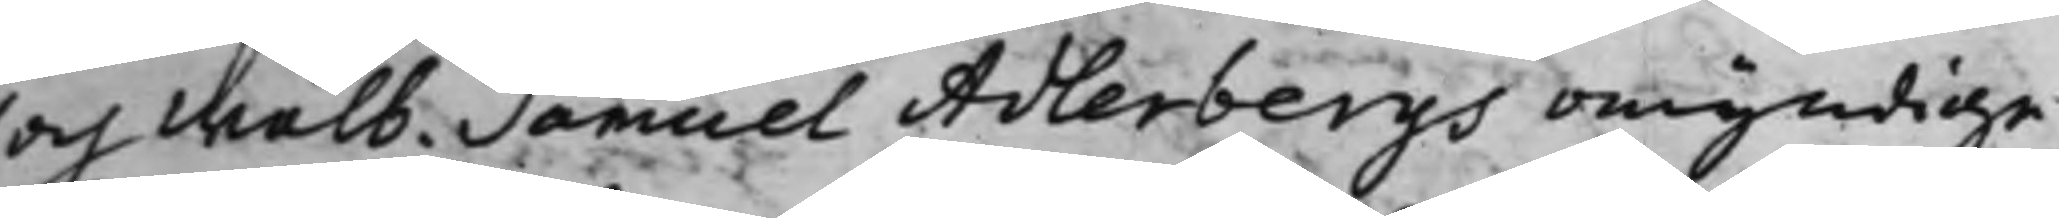och wälb. Samuel Adlerbergs omyndige
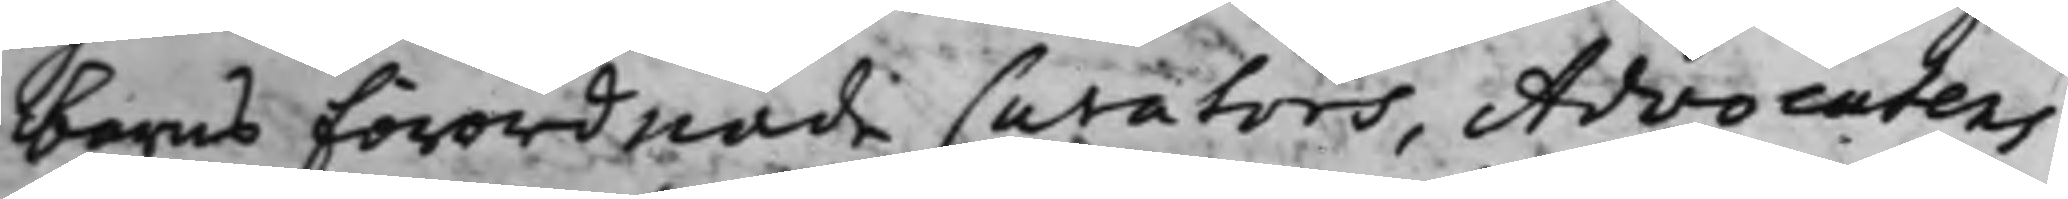barns Förordnade Curators, Advocatens
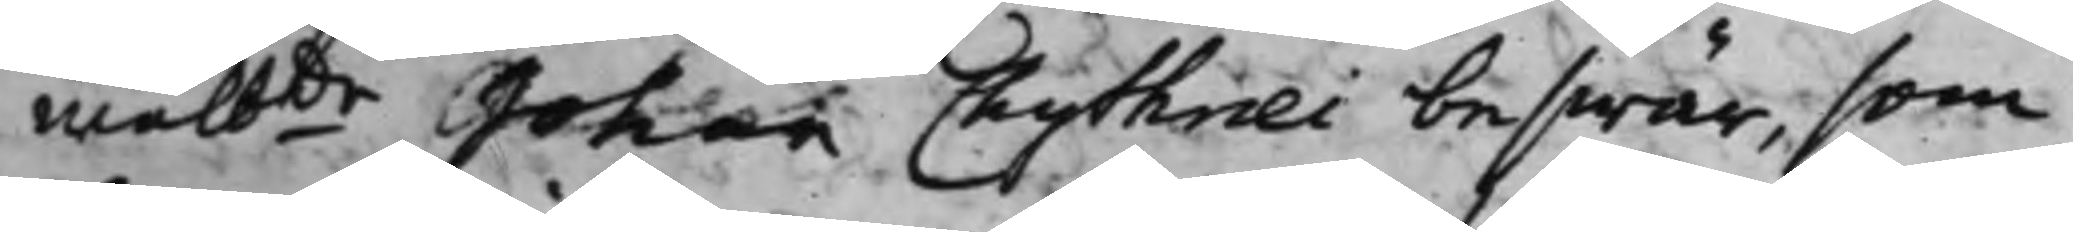wälbde Johan Chytræi beswär, som
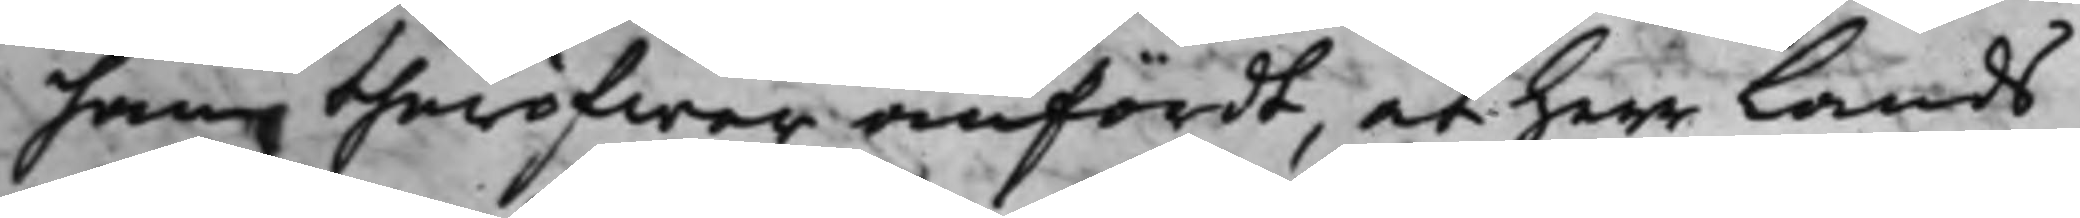han theröfwer anfördt, at Herr Lands¬
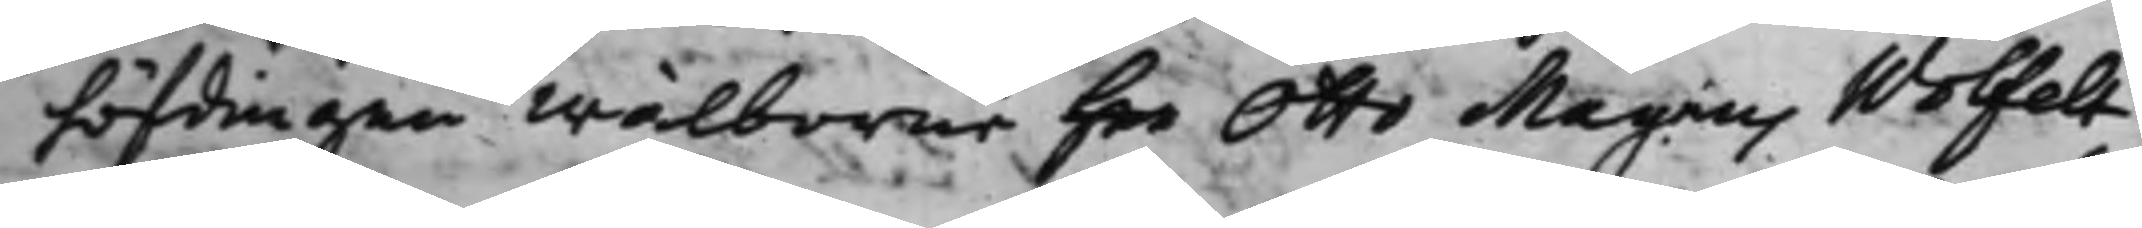höfdingen wälborne Her Otto Magnus Wolfelt,
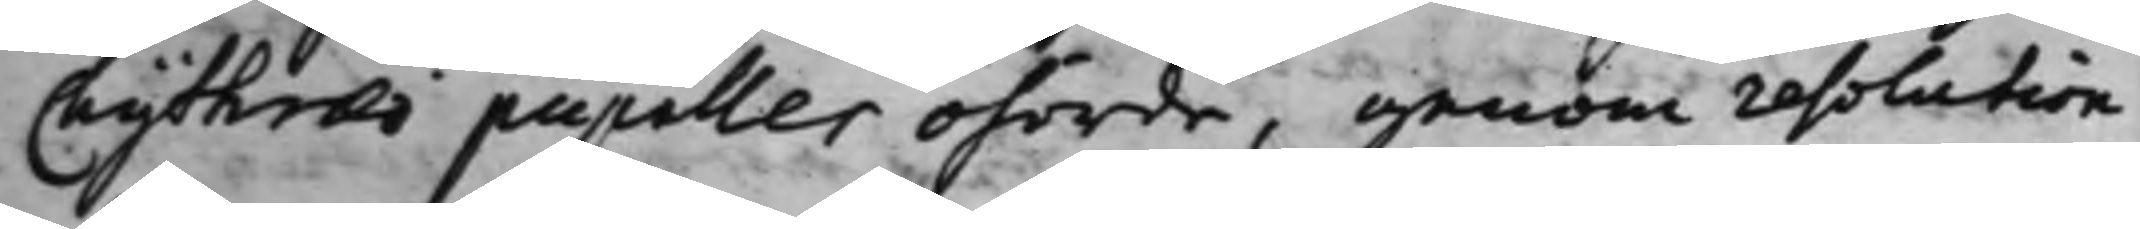Chytræi pupiller ohörde, genom resolution
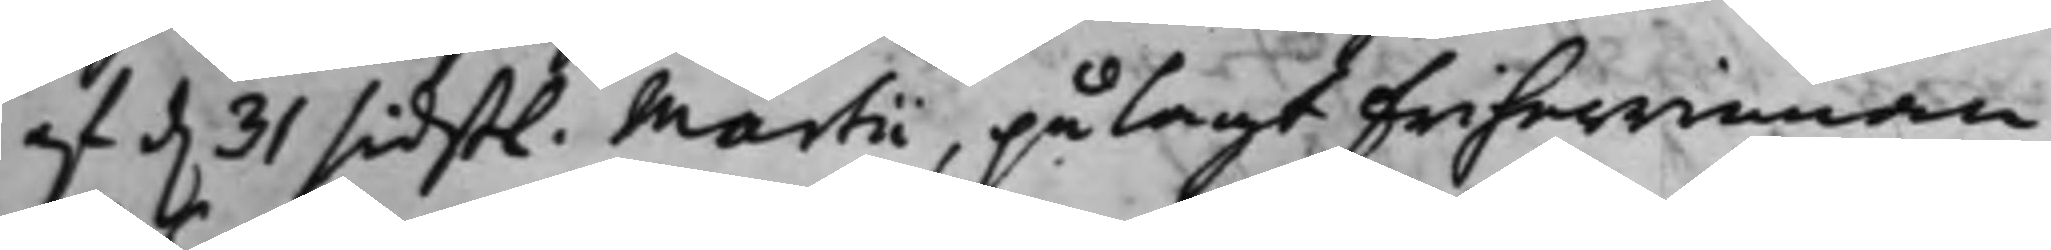af d. 31 sidstl. Martii, pålagt Friherrinnan
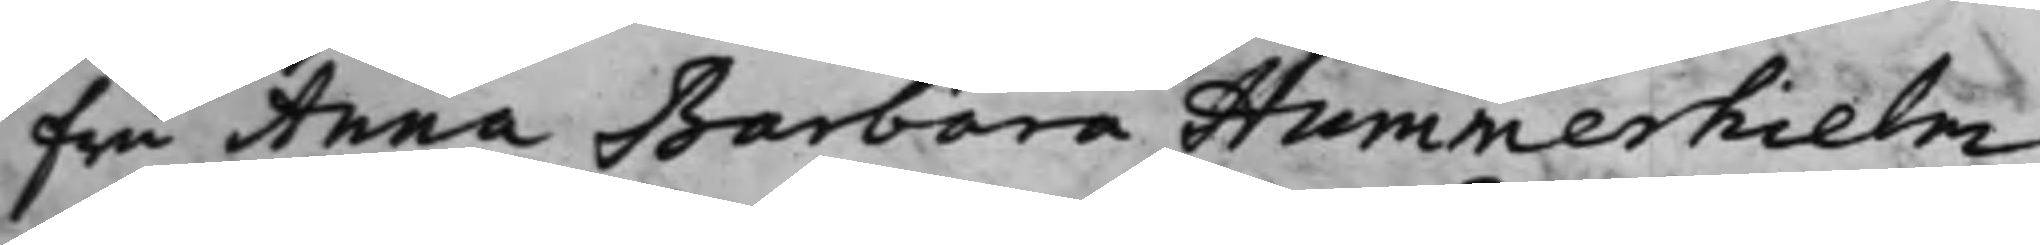Fru Anna Barbara Hummerhielm
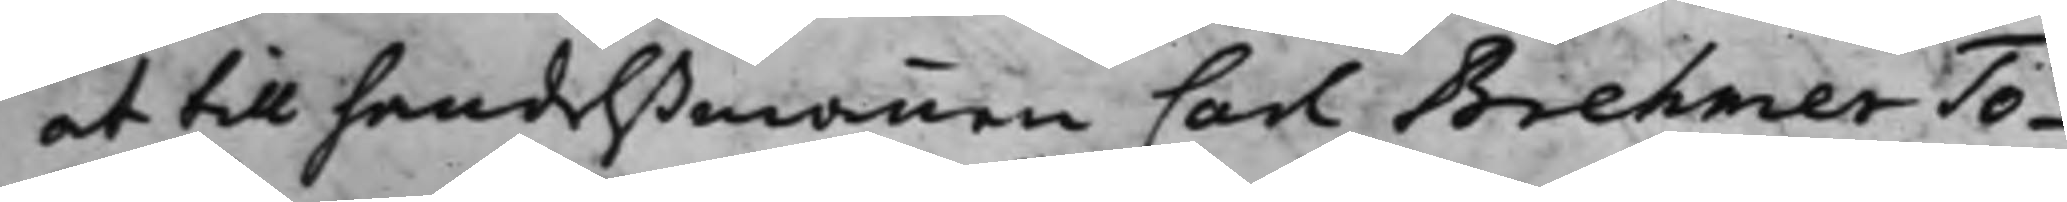at till handelßmannen Carl Brehmer To¬
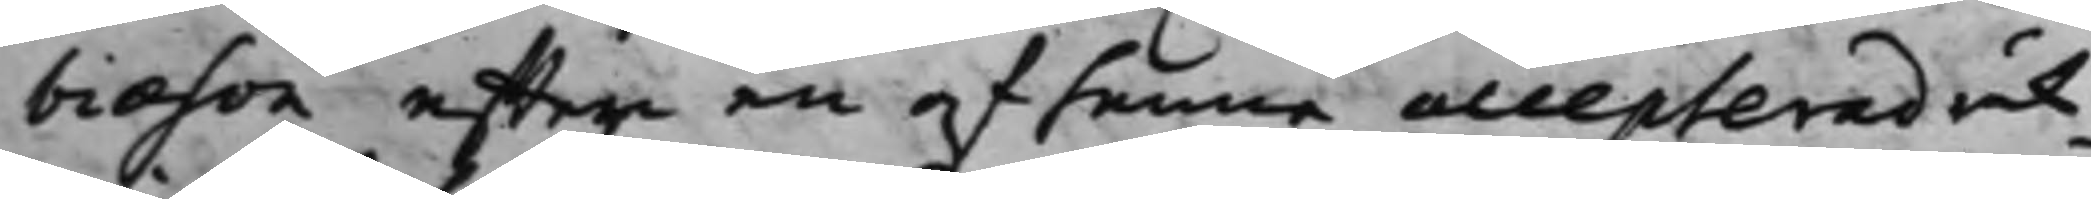biæson effter en af henne accepterad räk¬
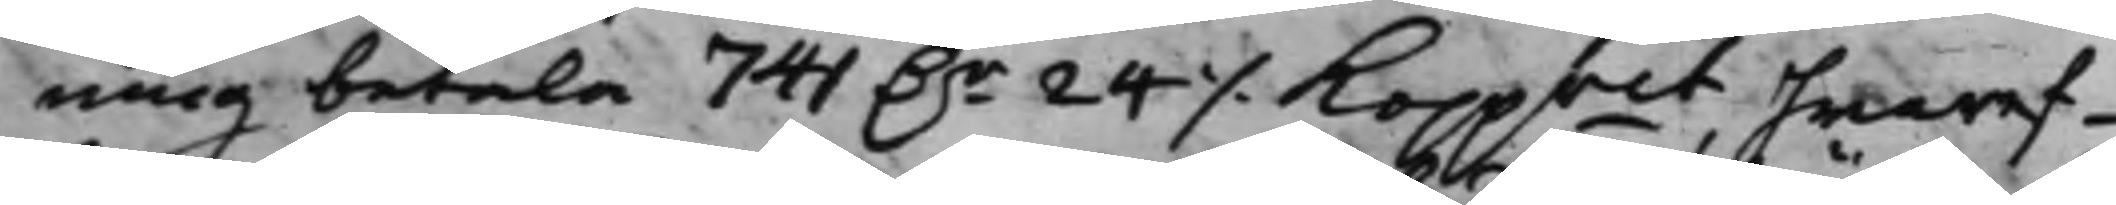ning betala 741 D.r 24 ./. Koppmt hwaref¬
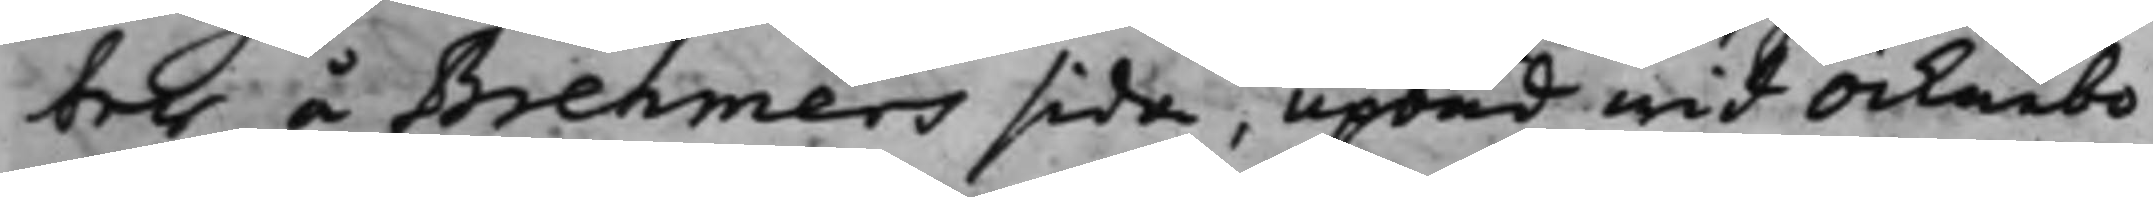ter å Brehmers sida, upbud wid Öcknebo
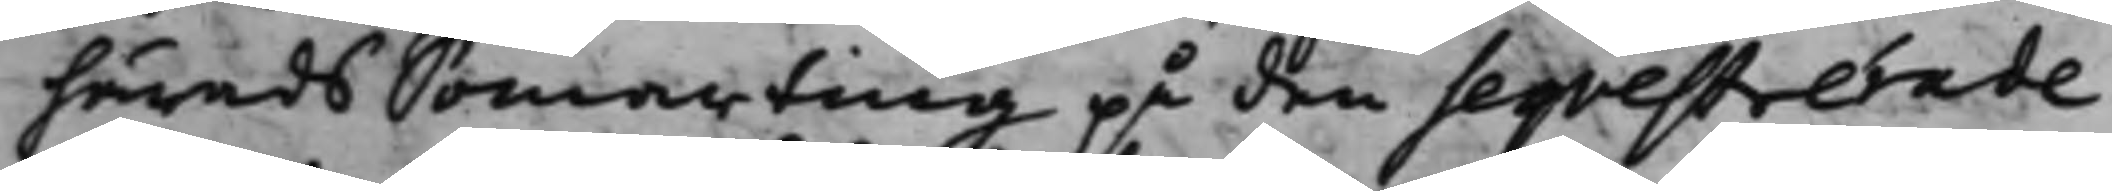härads Somarting på den seqvesterade
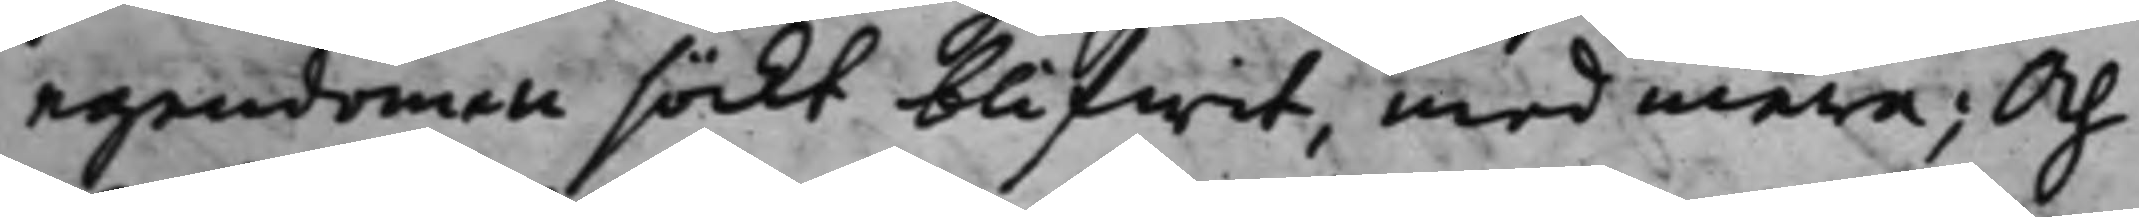egendomen söckt blifwit, med mera; Och
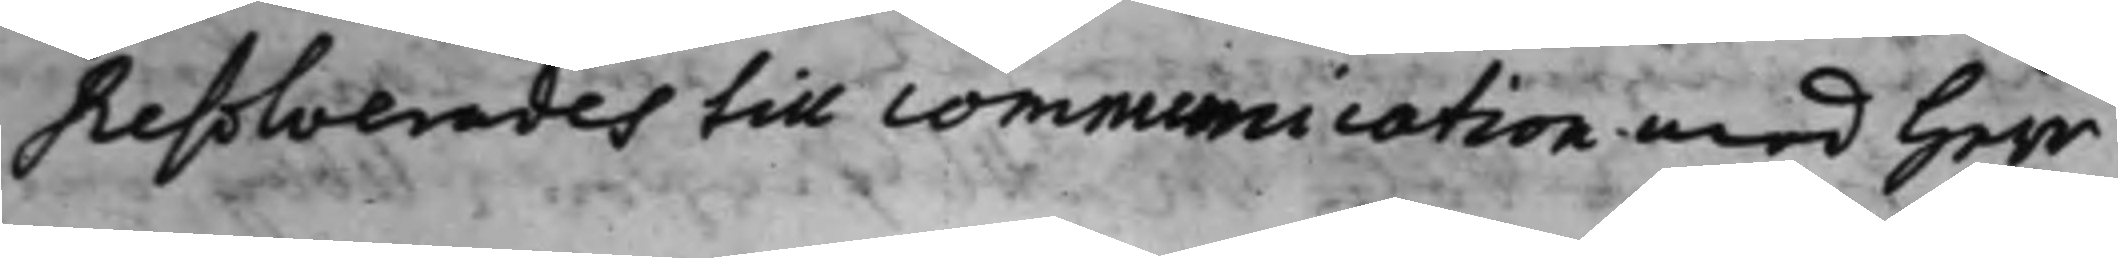Resolverades till communication med Herr
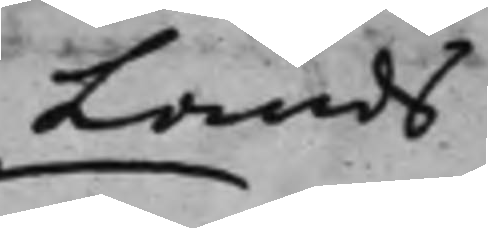Lands
